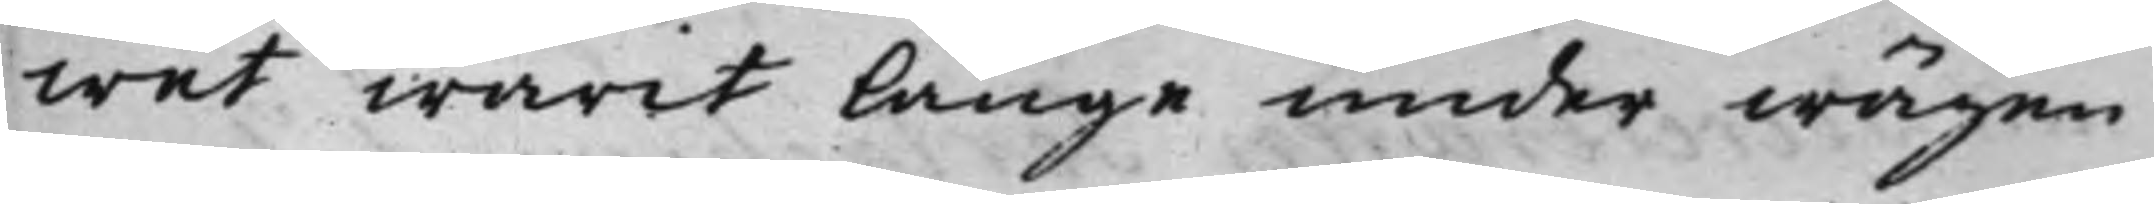wet warit länge under wägen
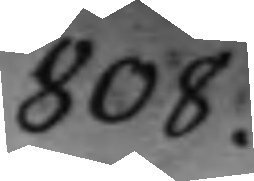808.
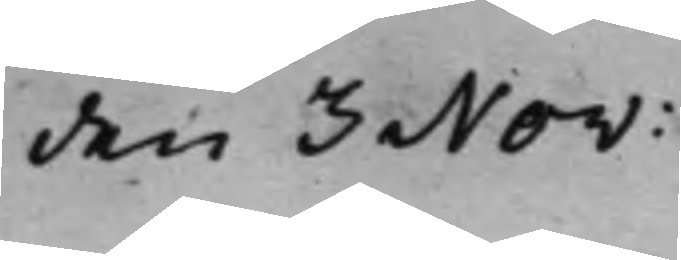den 3 Nov:
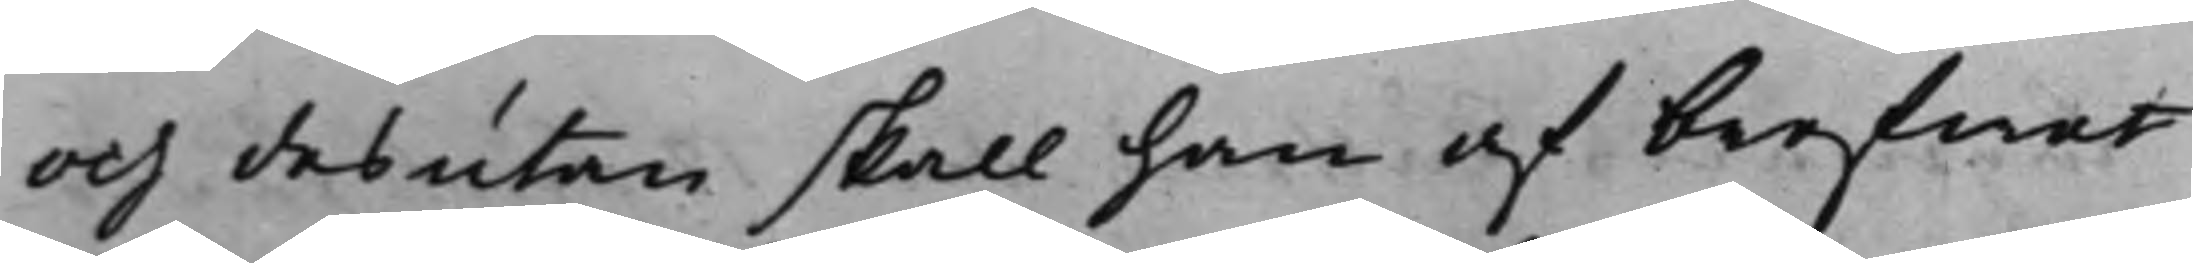och desutan skall han af brefwet
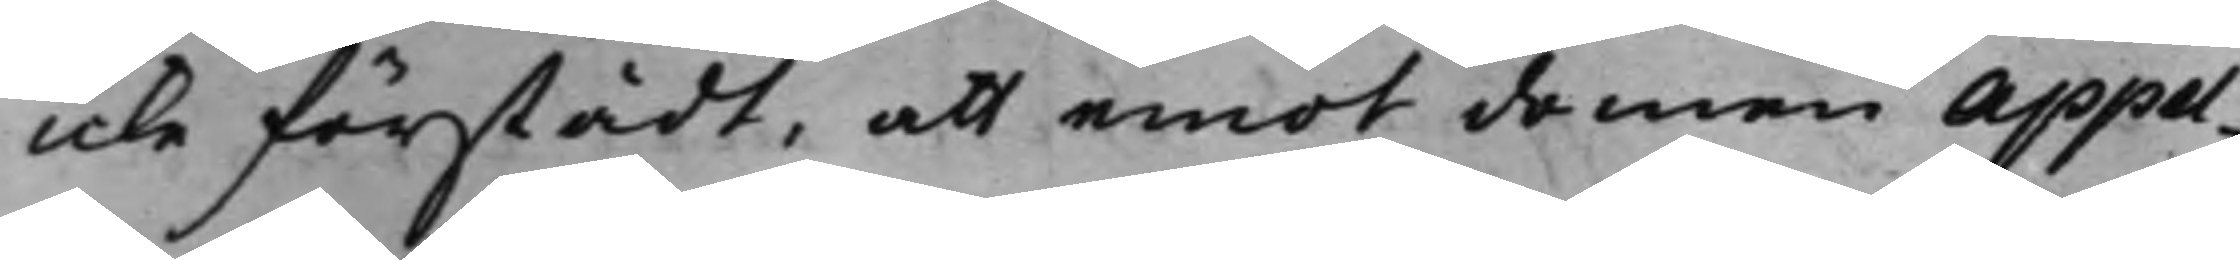icke förstådt, att emot domen appel¬
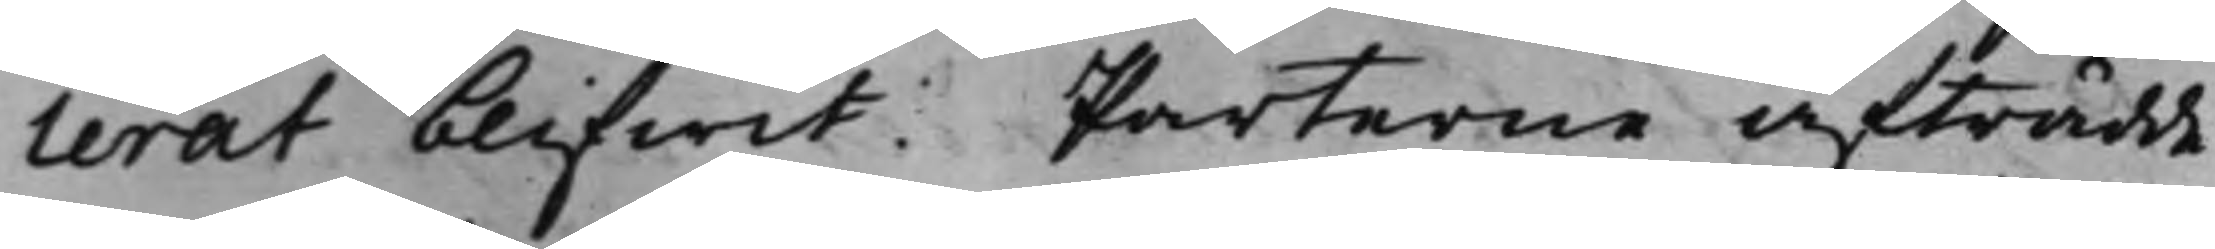lerat blifwit. Parterne afträdde
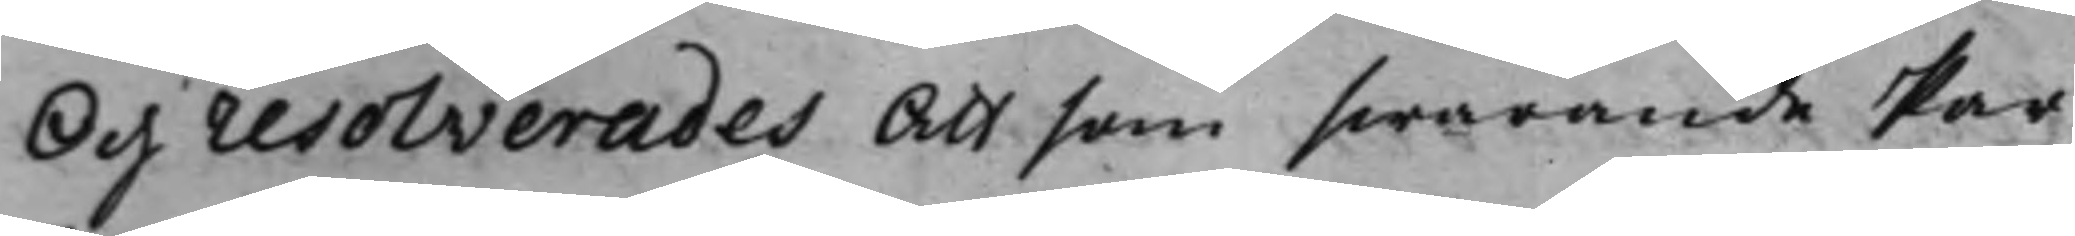Och resolverades Att som swarande Par¬
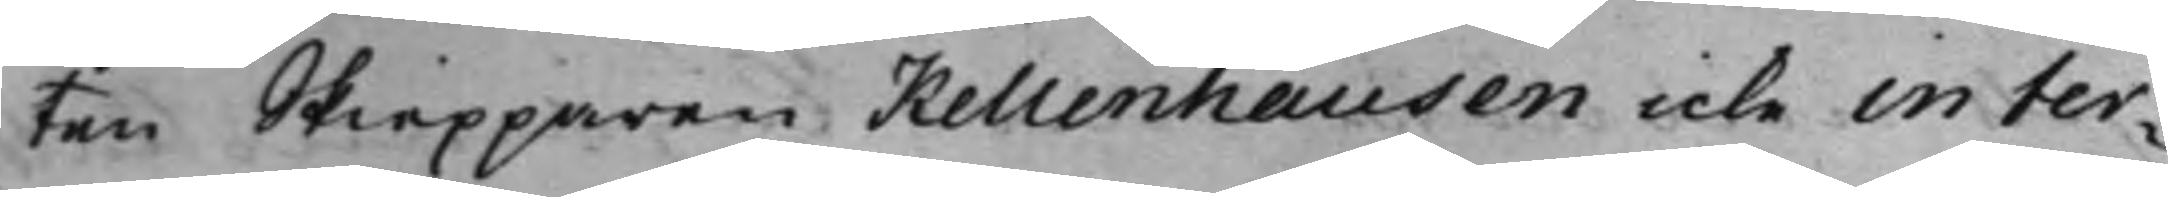ten Skiepparen Kellenhausen icke in ter¬
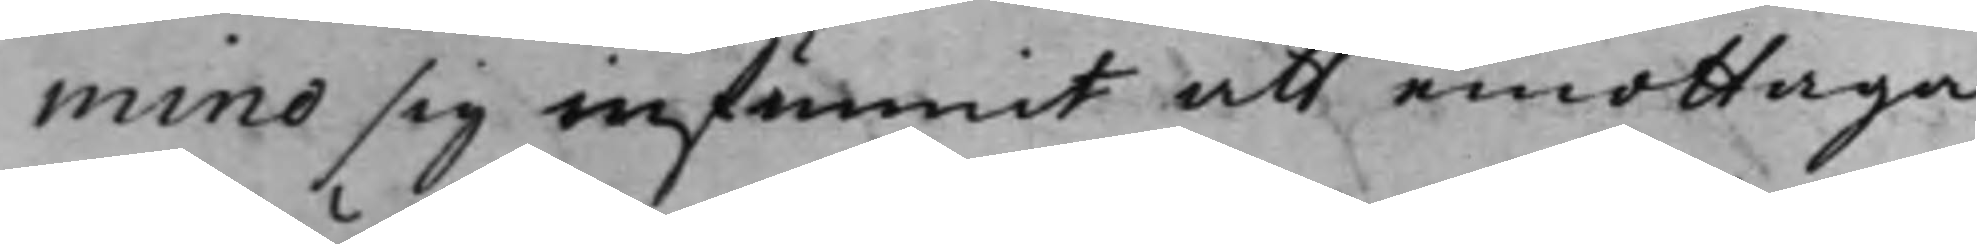mino sig infunnit att emottaga
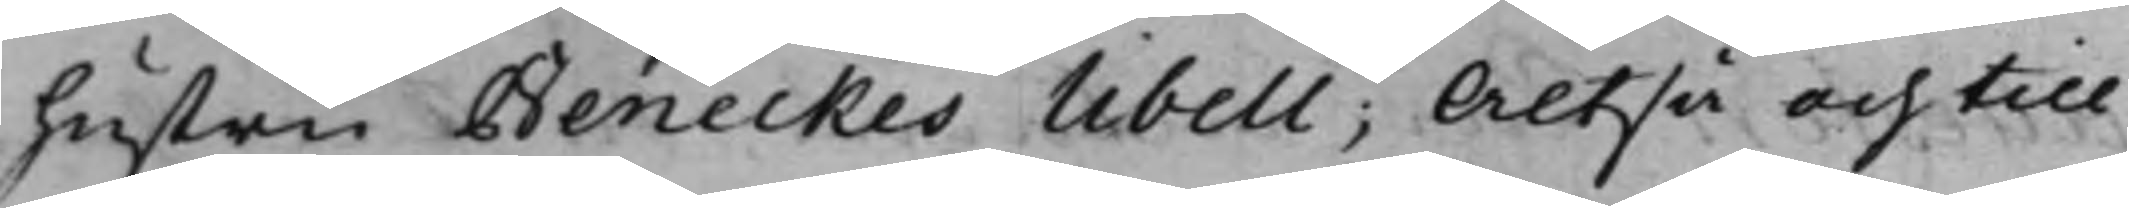hustru Beneckes Libell; Altså och till
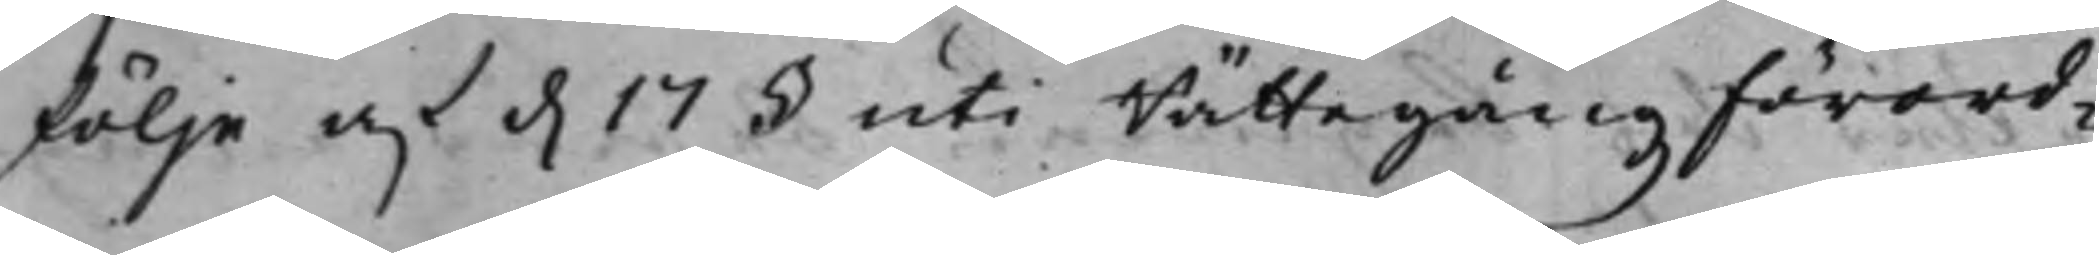följe af d. 17 § uti RättegångzFörord¬
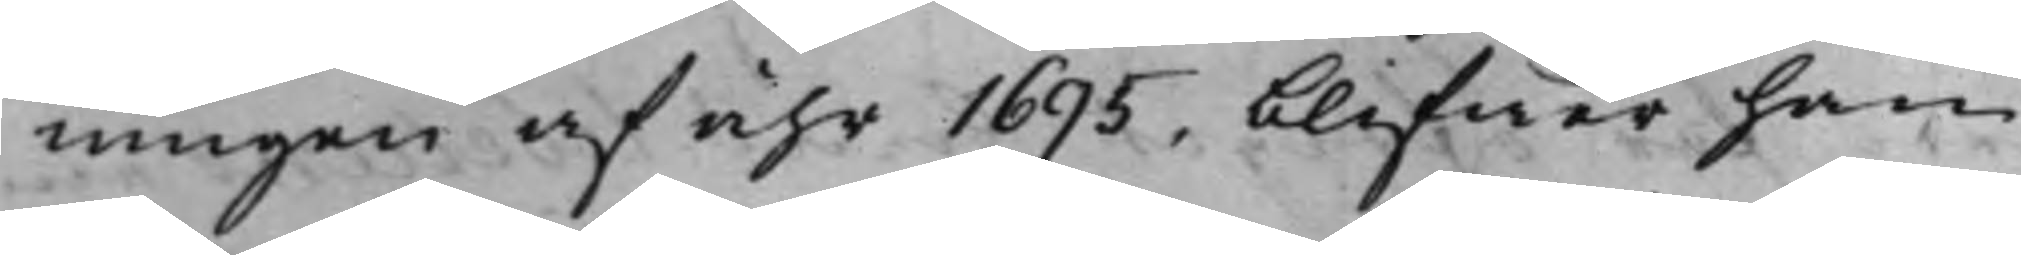ningen af åhr 1695, blifwer han
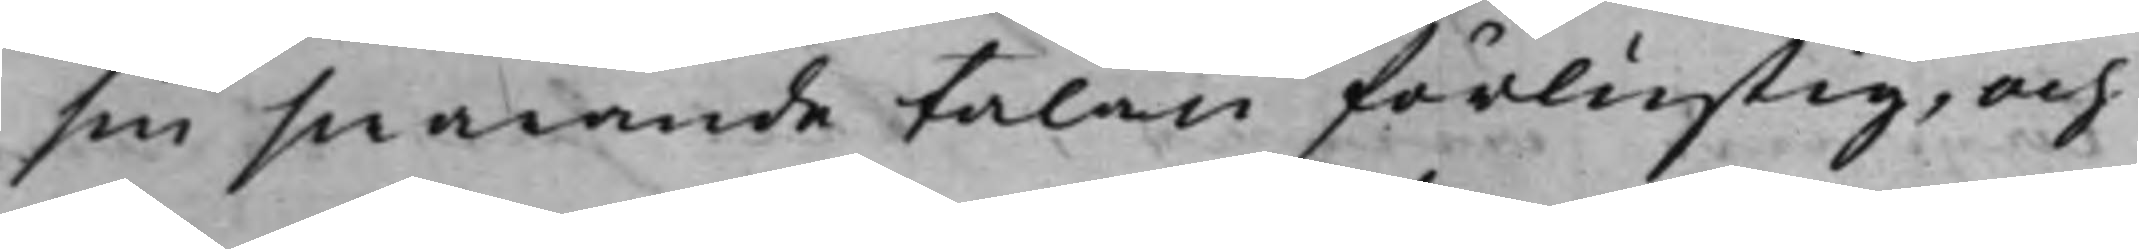sin swarande talan förlustig, och
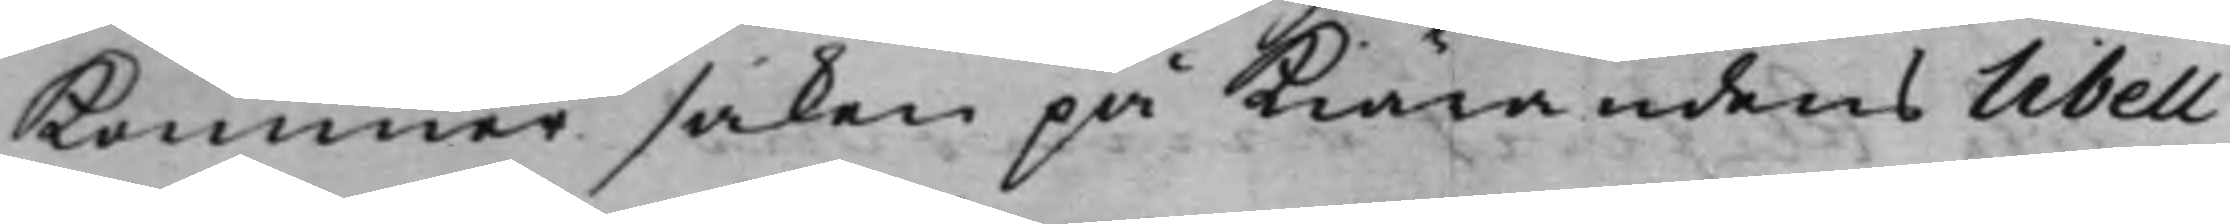kommer saken på Kiärandens Libell
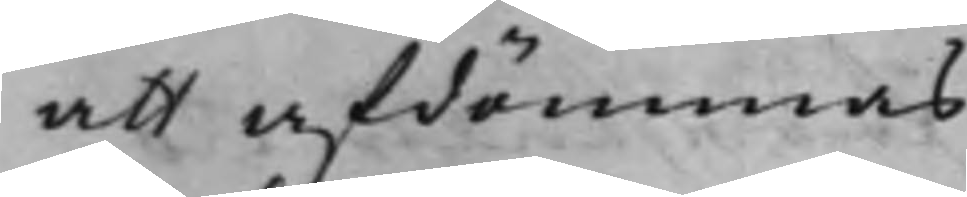att afdömmas.
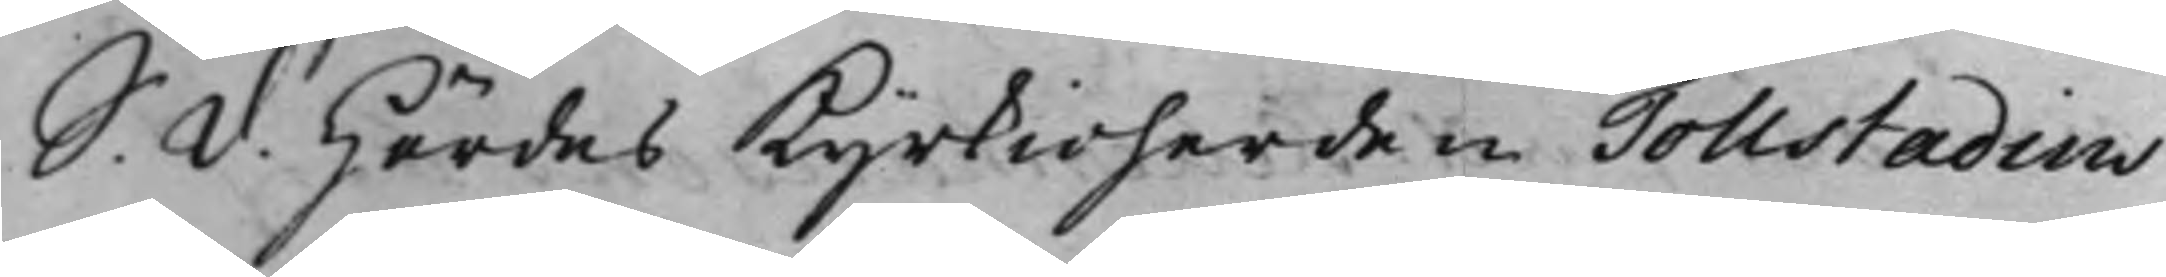S. d. Hördes Kyrkioherden Tollstadius
